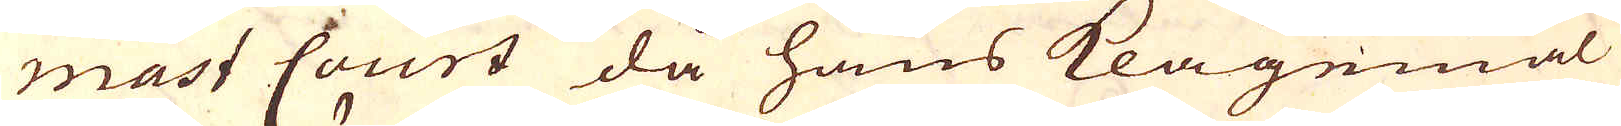mast Court då hans klagemål
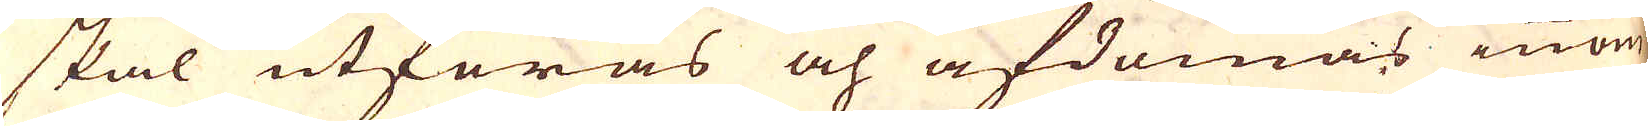skal utföras och afdömas innom
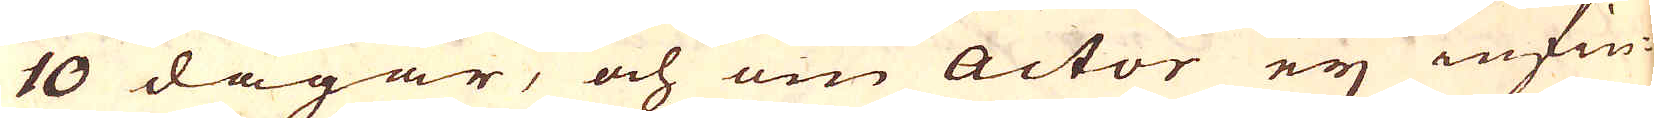10 dagar, och om actor ey infin-
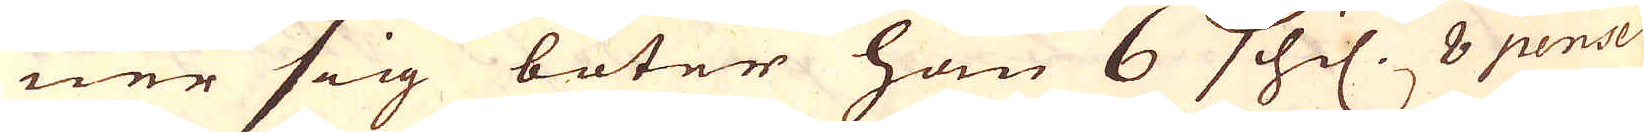ner sig böter han 6 schil. 8 pense
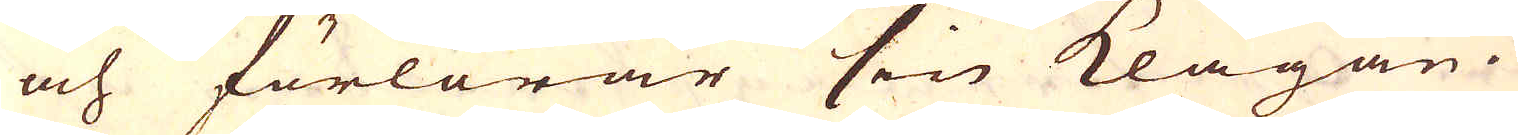och förlorar sin klagan.
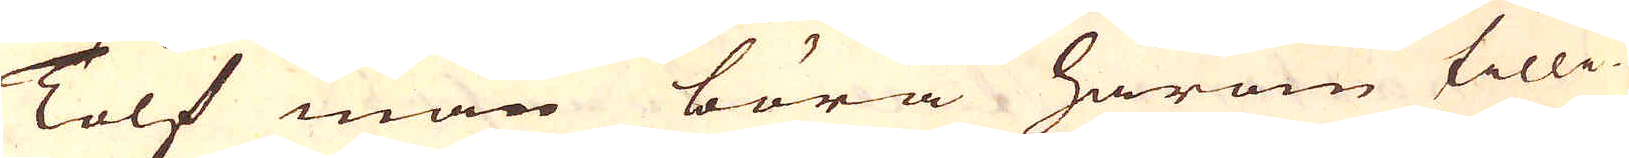Tolf män böra härom tilli-
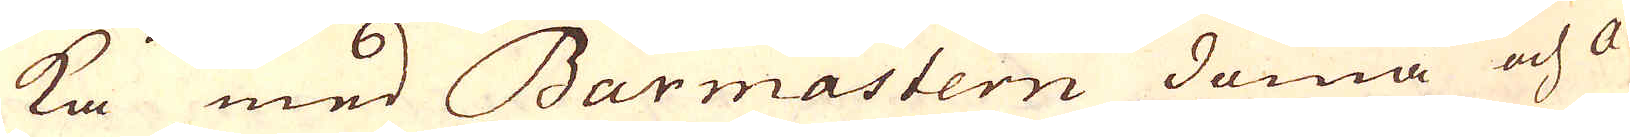ka med Barmastern döma och a-
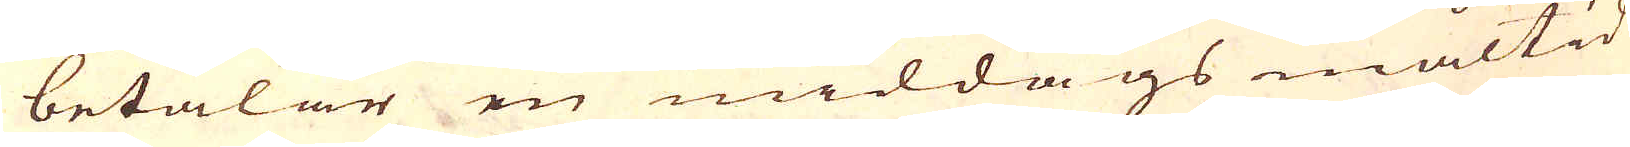betalar en middags måltid
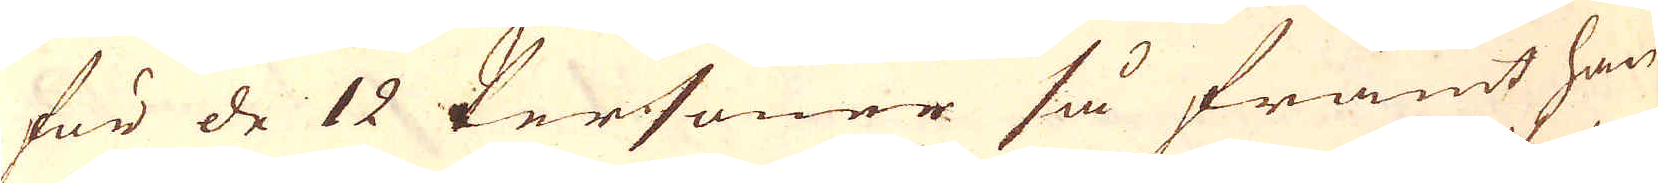för de 12 Personer så framt han
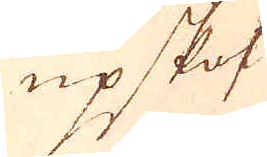upskof
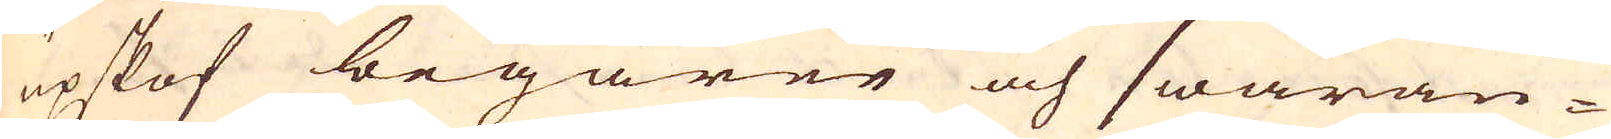upskof begärer och swaran-
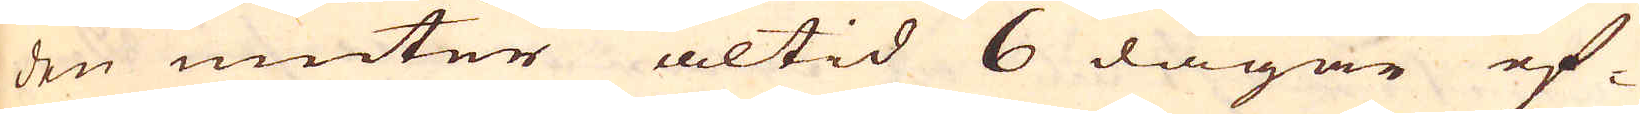den niuter altid 6 dagar ef-
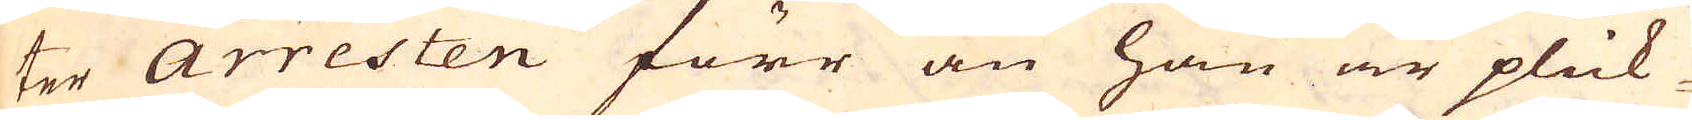ter Arresten förr än han är plick-
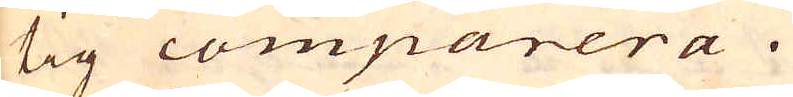tig comparera.
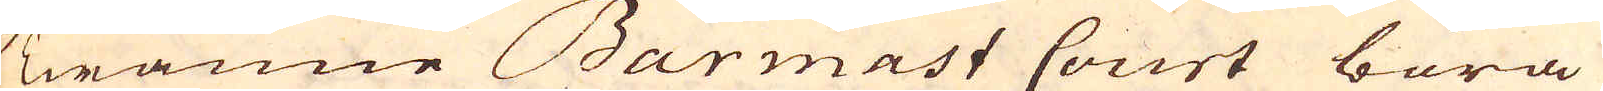Twänne Barmast Court böra
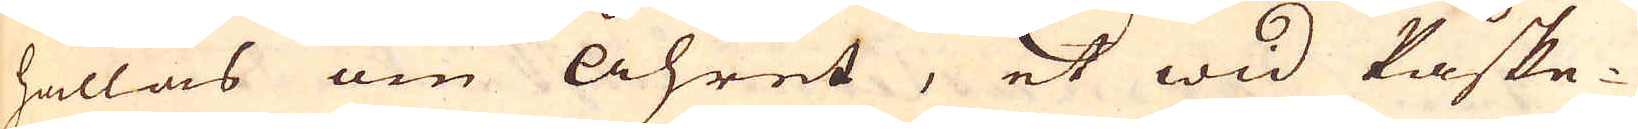hållas om åhret, et wid Påske-
